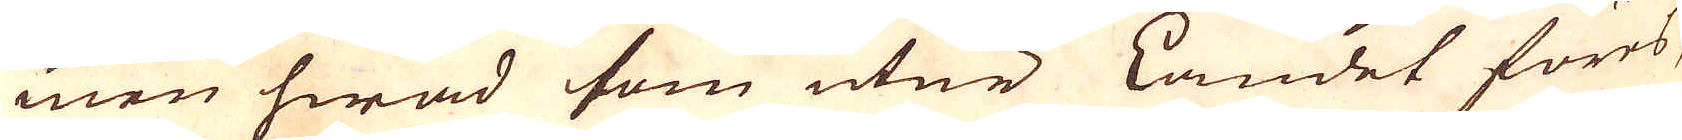men hwad som utur Landet föres,
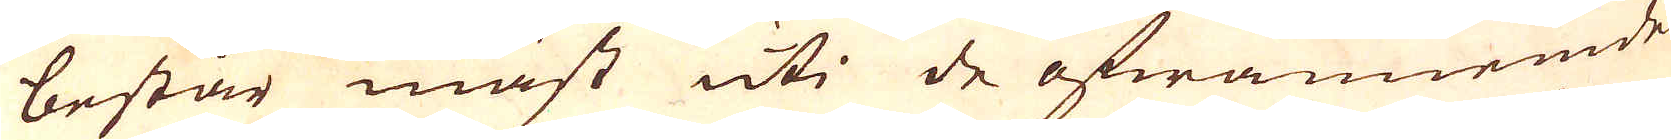består mäst uti de ofwannemde
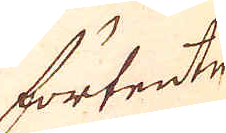förtente
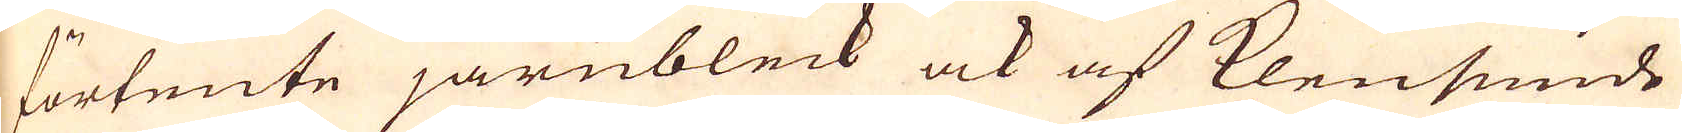förtente järnbleck ock af klensmide
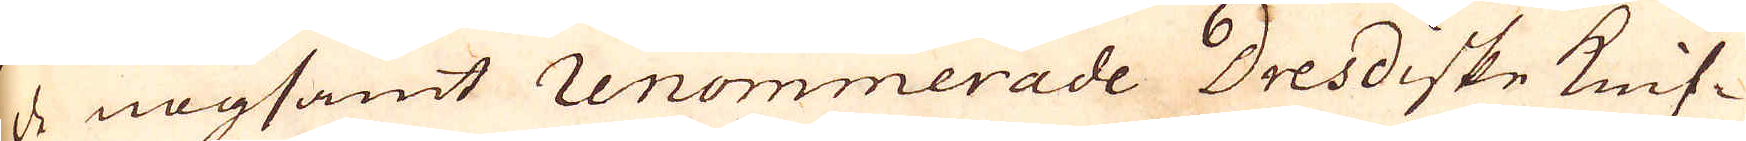de nogsamt renommerade Dresdiske knif-
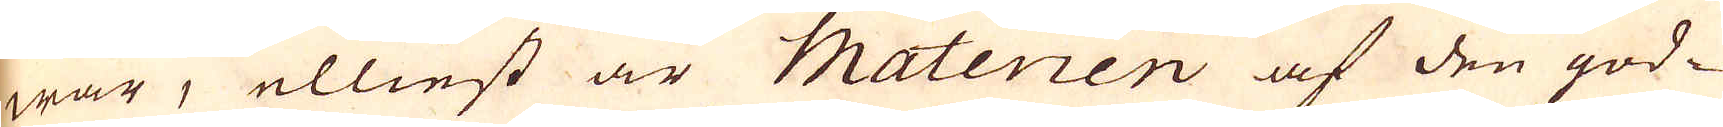war, elliest är Materien af den god-
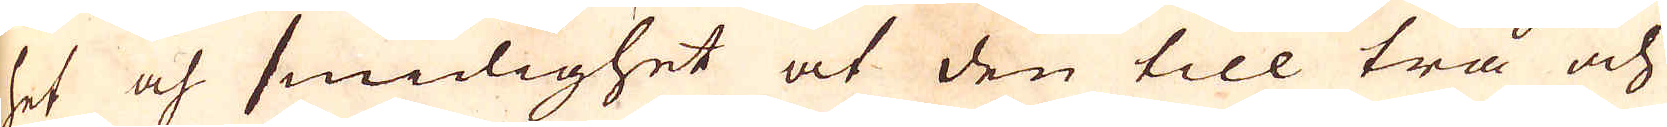het och smidighet at den till trå och
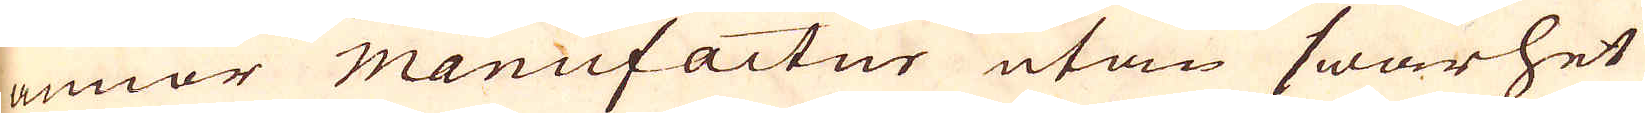annor manufactur utan swårhet
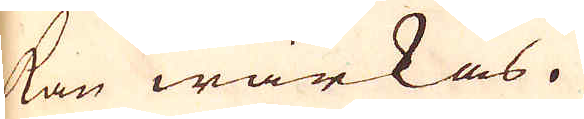kan wärkas.
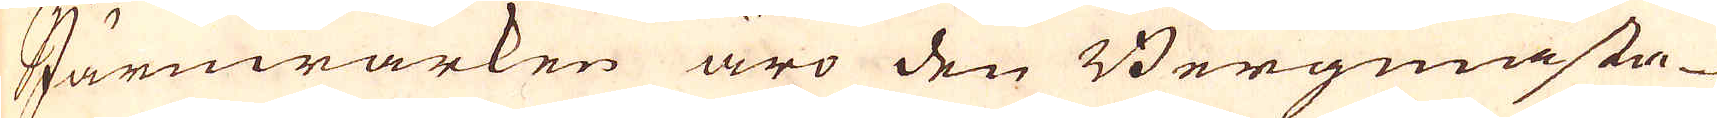Järnwärken äro den Bergmästa-
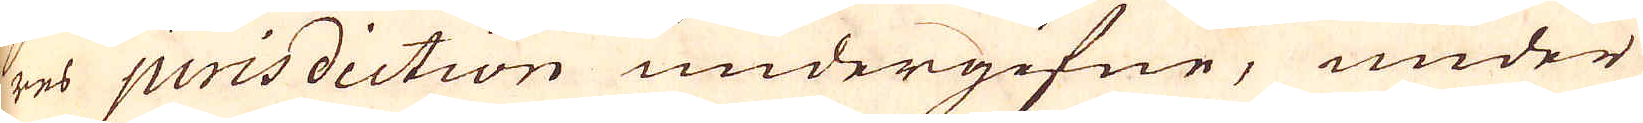res jurisdiction undergifne, under
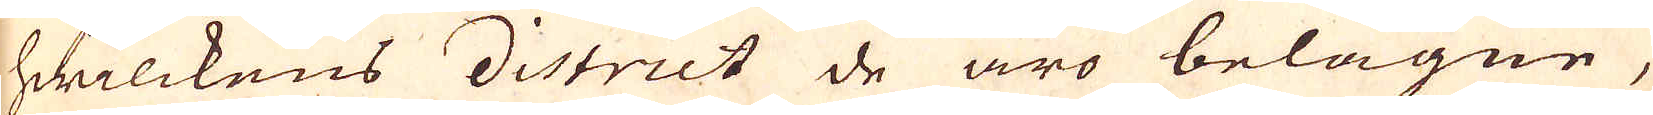hwilckens district de äro belägne,
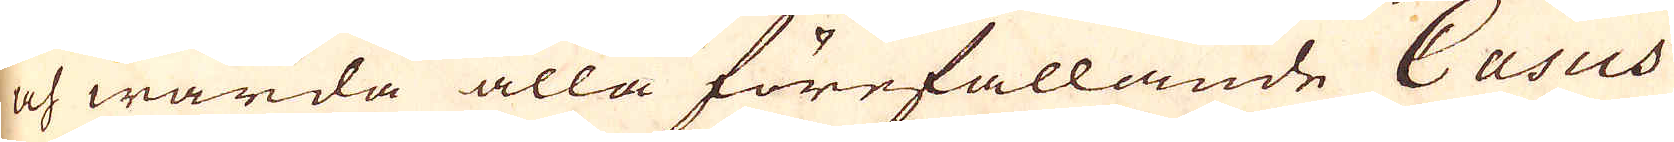och warda alla förefallande Casus
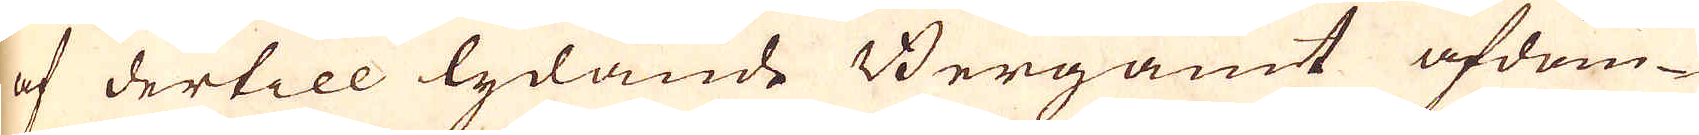af dertill lydande Bergamt afdöm-
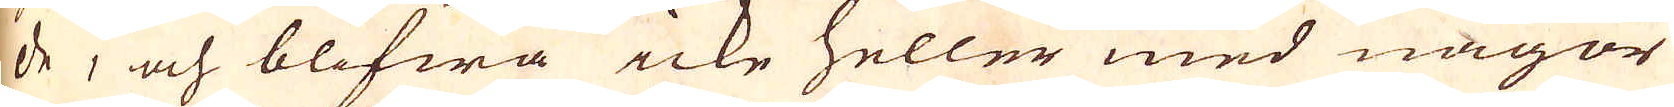de, och blifwa icke heller med någon
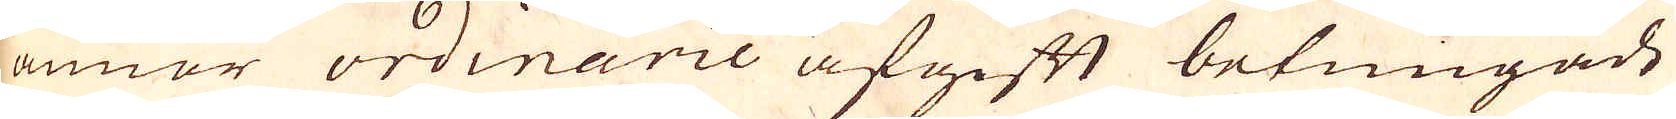annor ordinarie afgift betungade
